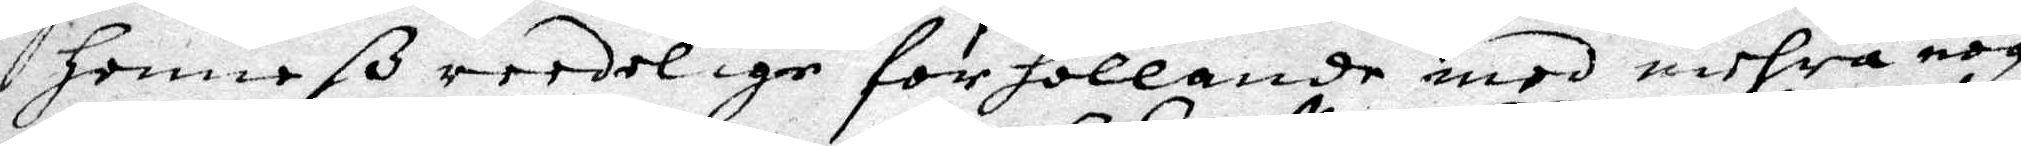Henneß reedelige förhollande med mehra nog¬
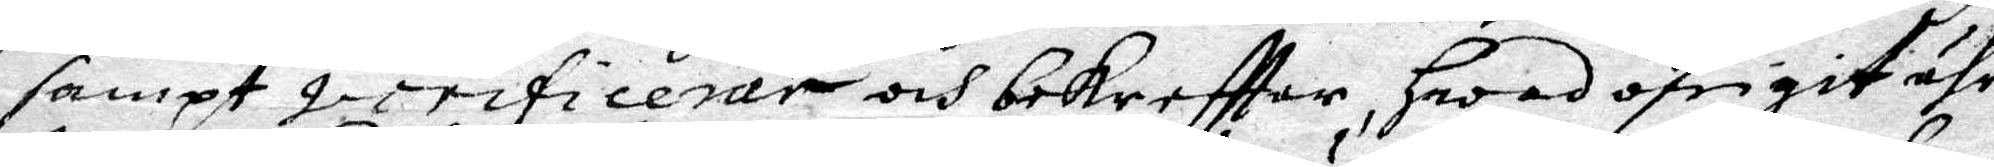sampt jurificerar och bekrefttar Hwad öfrigit ähr
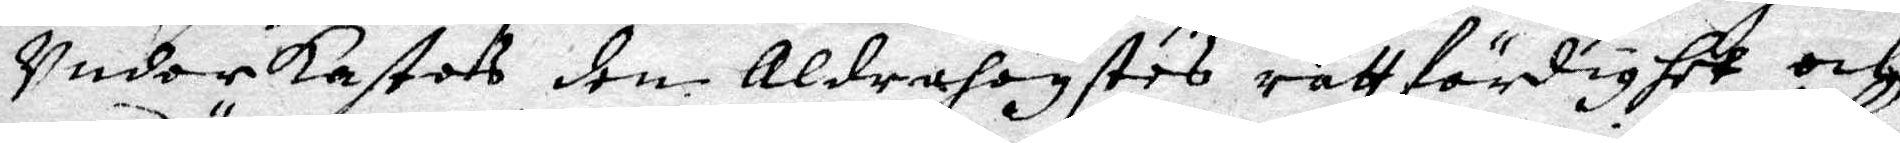Underkastas den Aldrahögstes rättfärdighet och
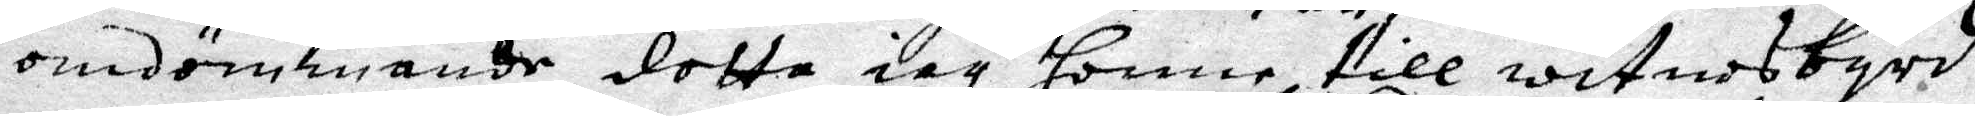omdömmande detta iag Honne till witnesbyrd
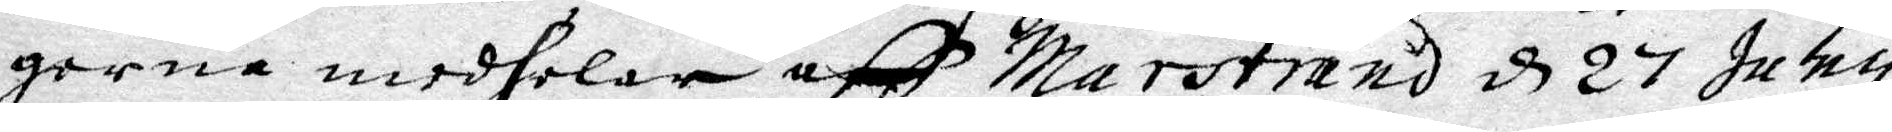gerna medhelar aff Marstrand d 27 Juny
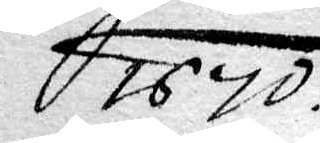1670.
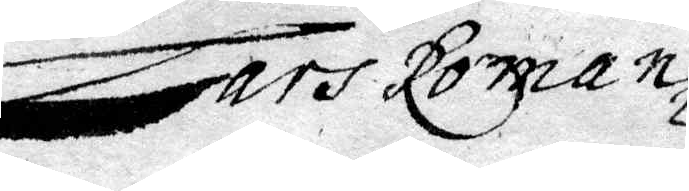Lars Roman
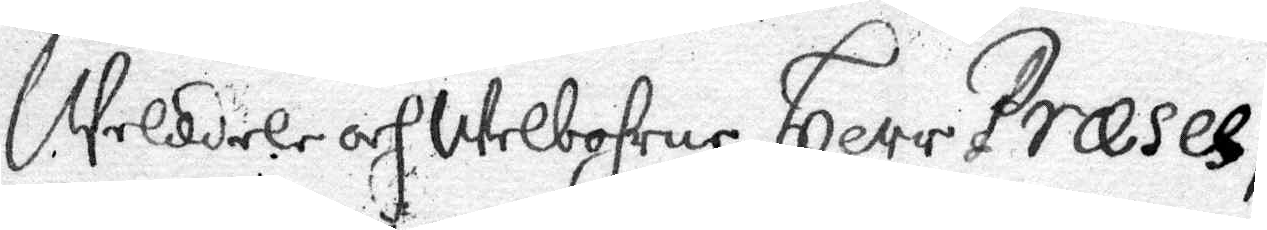Weldele och Welbohrne Herr Præses,
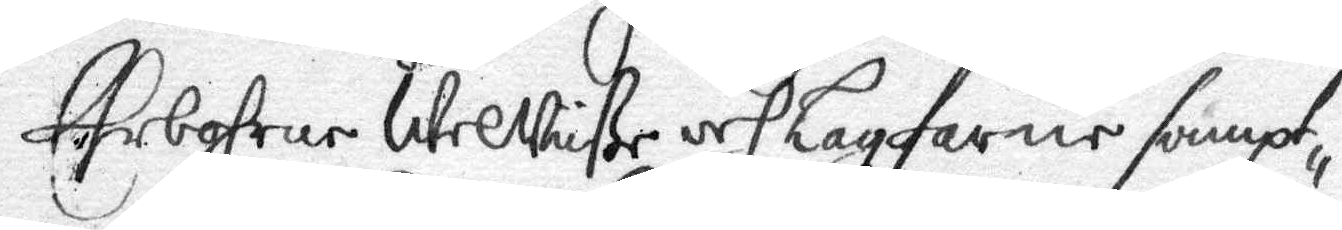Ehrbohrne WelWiße och Lagfarne sampt¬
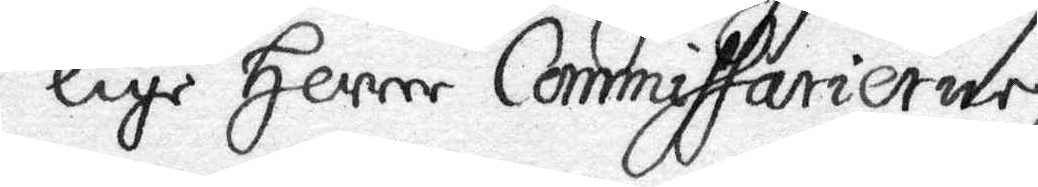lige Herrer Commissarierne,
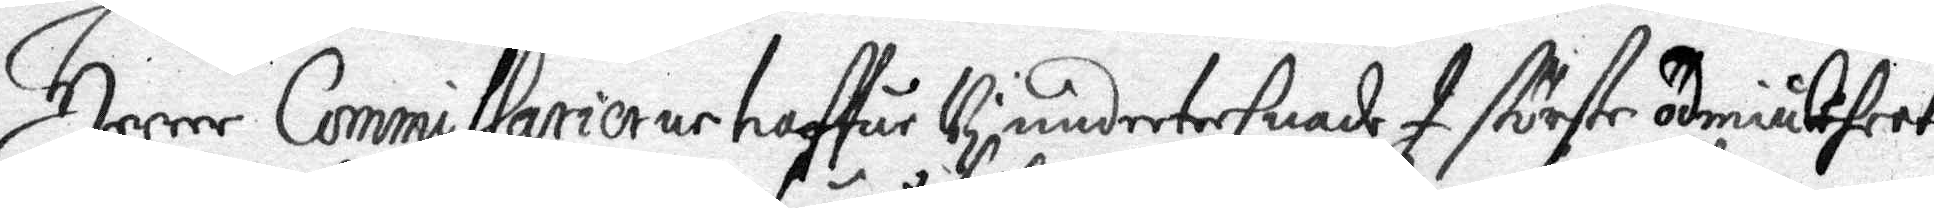Herrer Commissarierne haffur Undertechnad I största ödmiukhet
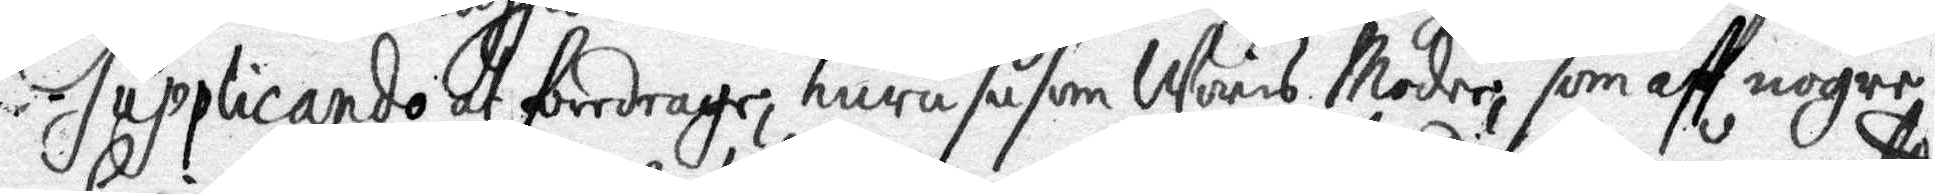Supplicando at föredrage, huru såsom Maris Moder, som aff nogre
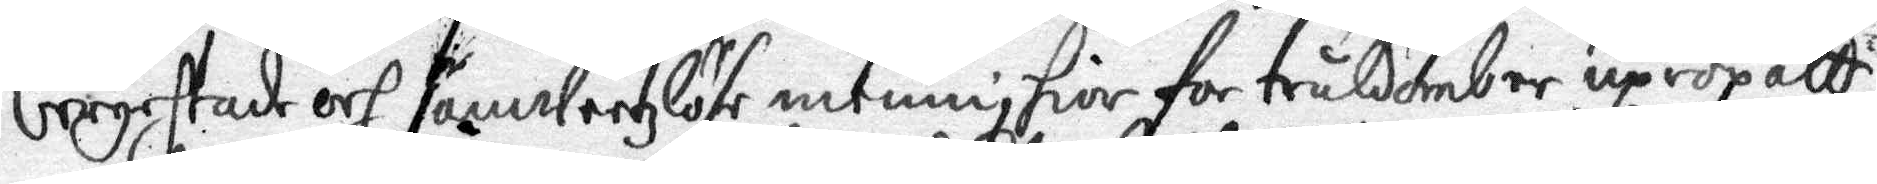berychrade och samweetzlöse menniskior for tråldomb er upropatt,
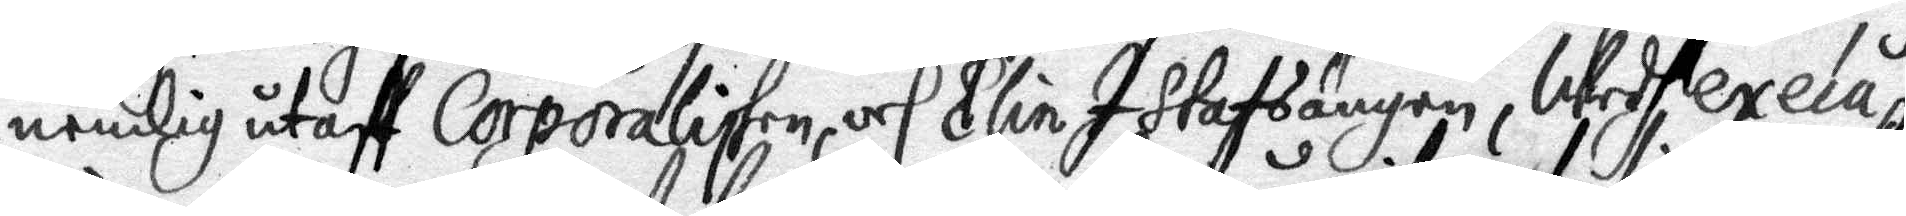nemlig utaff Corporalisken, och Elin I Stafsängen, Wedh execu¬
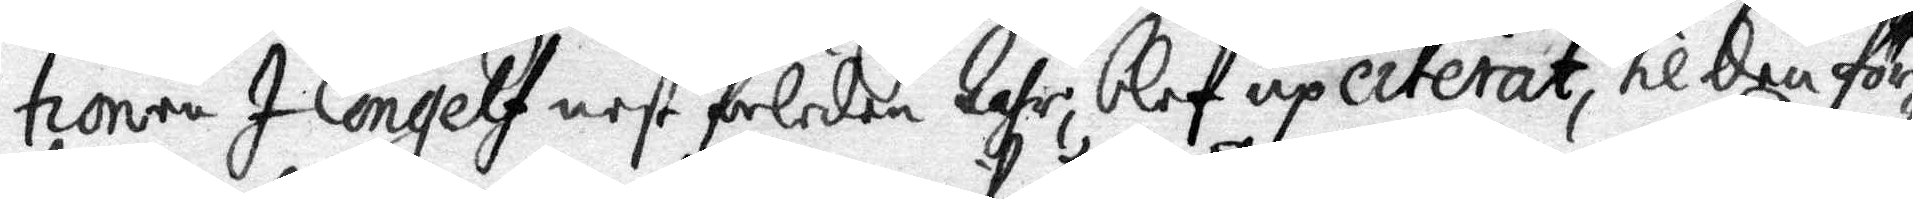tionen I Congelf nest forleden Hafr blef upciterat, til den för¬
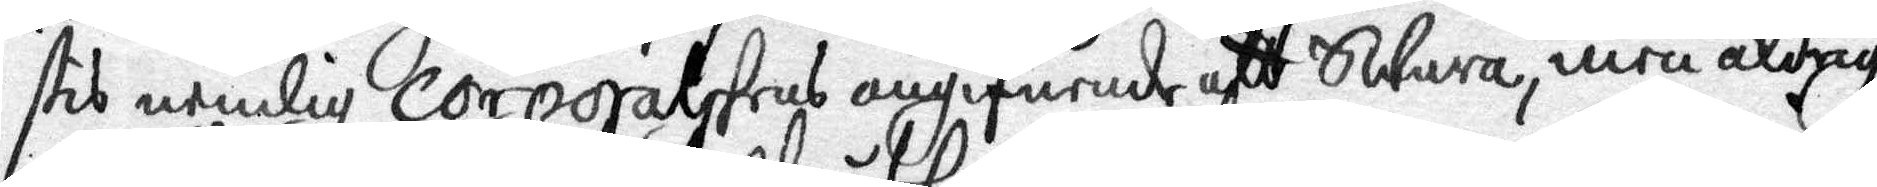stis nemlig corporalskens angifuende att Swara, men aldrig
